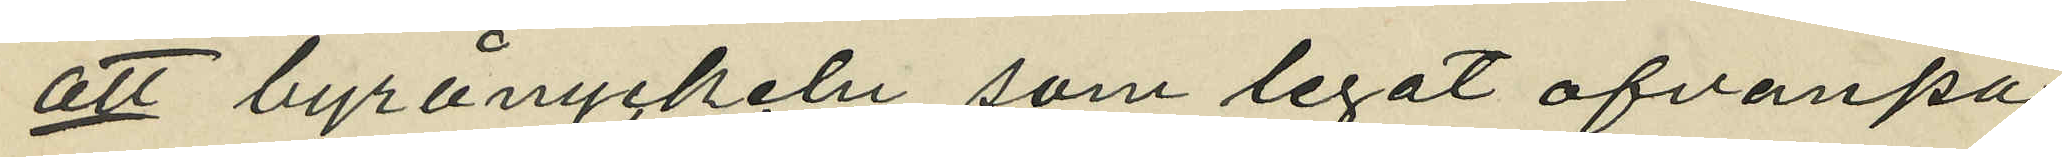att byrånyckeln, som legat ofvanpå
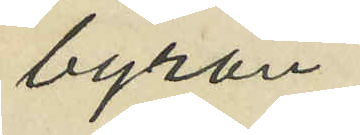byrån
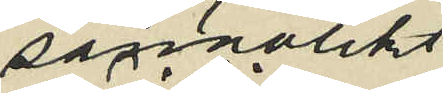sannolikt
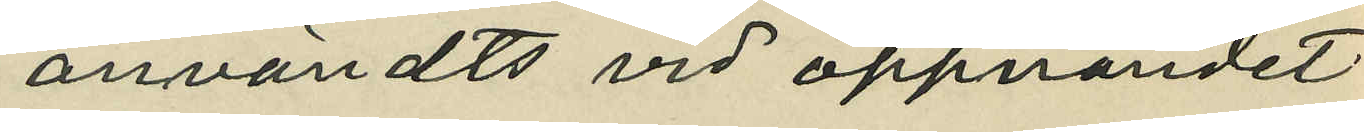användts vid öppnandet
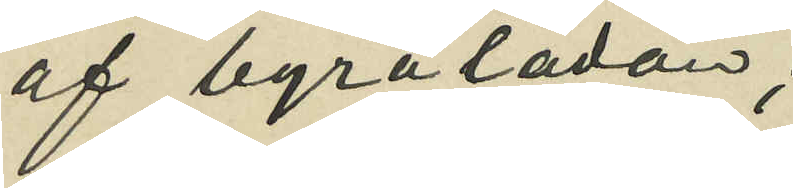af byrålådan;
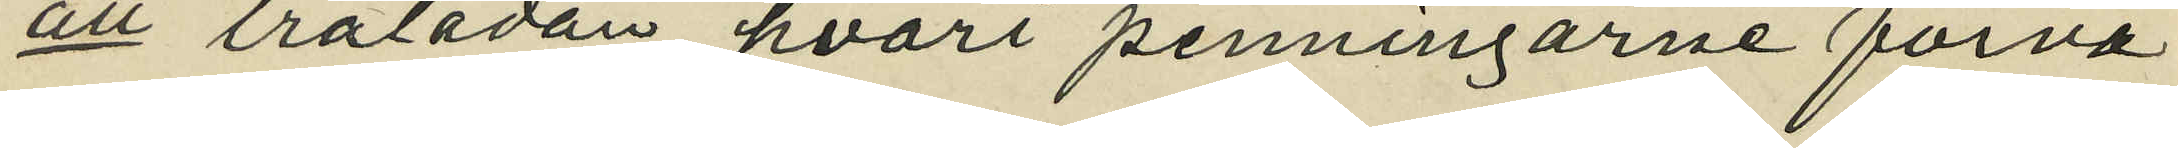att trälådan, hvari penningarne förva¬
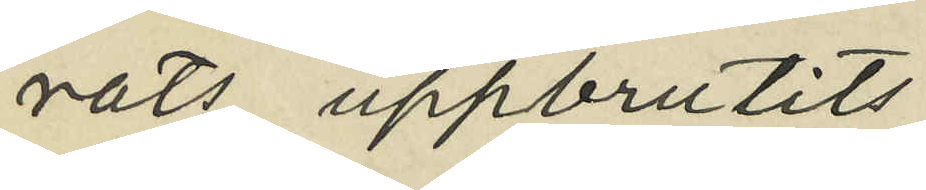rats uppbrutits;
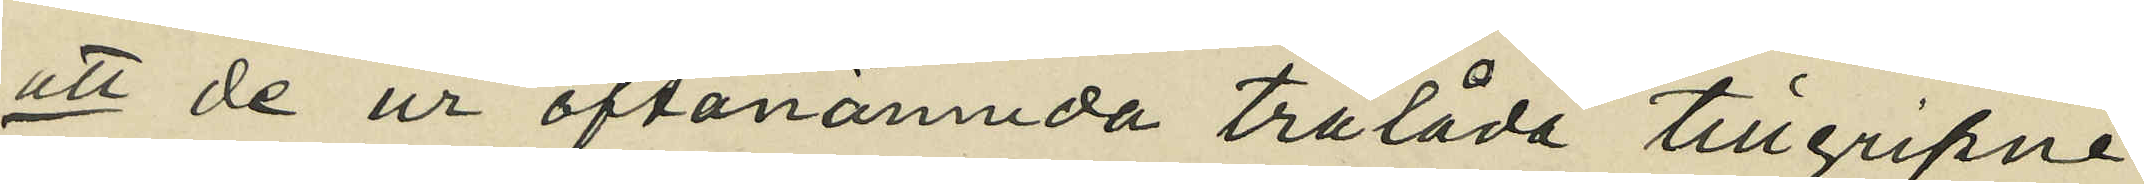att de ur oftanämnda trälåda tillgripne
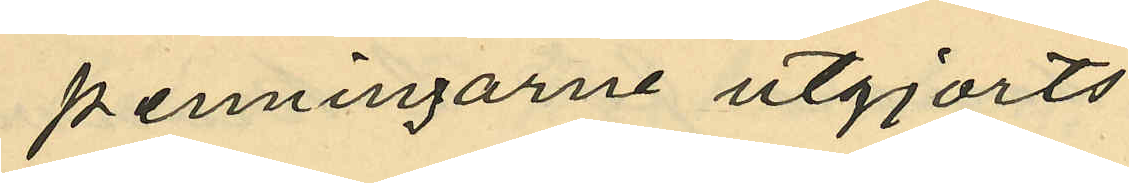penningarne utgjorts
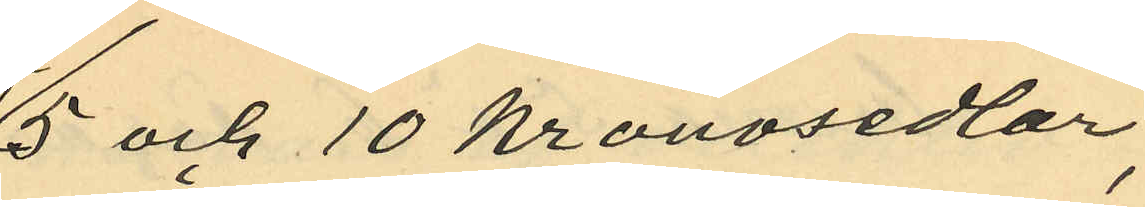5 och 10 kronosedlar,
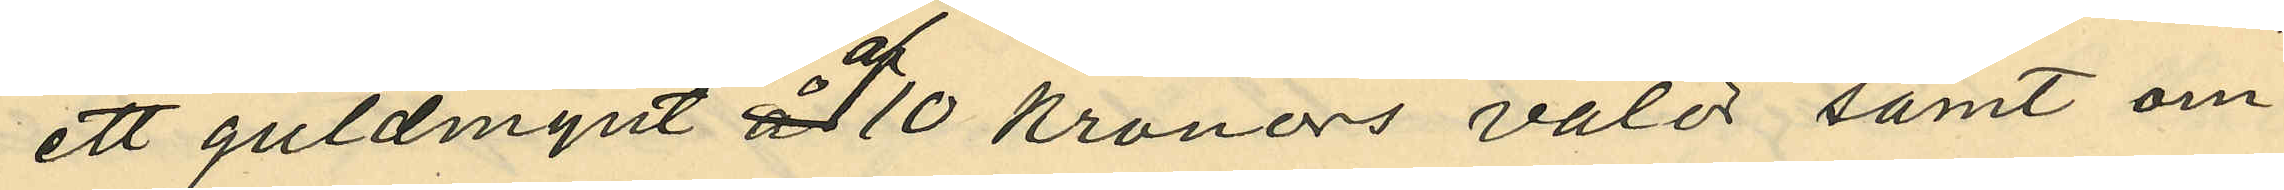ett guldmynt af 10 kronors valör samt om¬
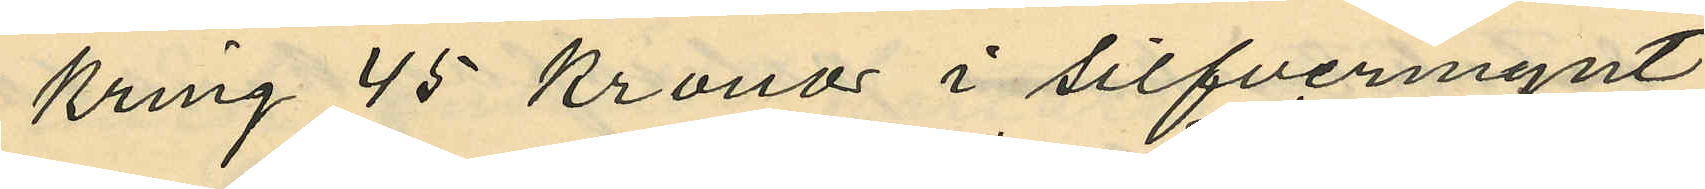kring 45 kronor i silfvermynt;
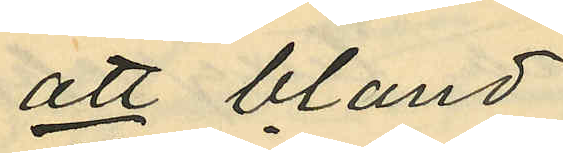att bland
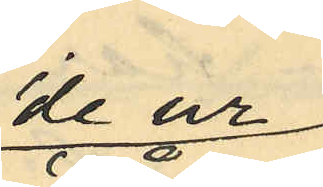de ur
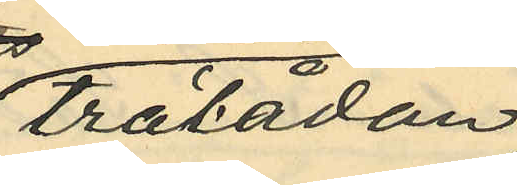trälådan
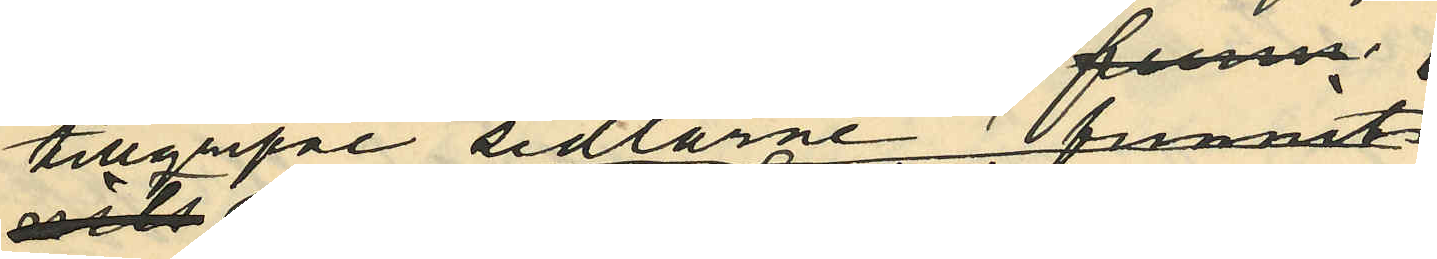tillgripe sedlarne funnits
